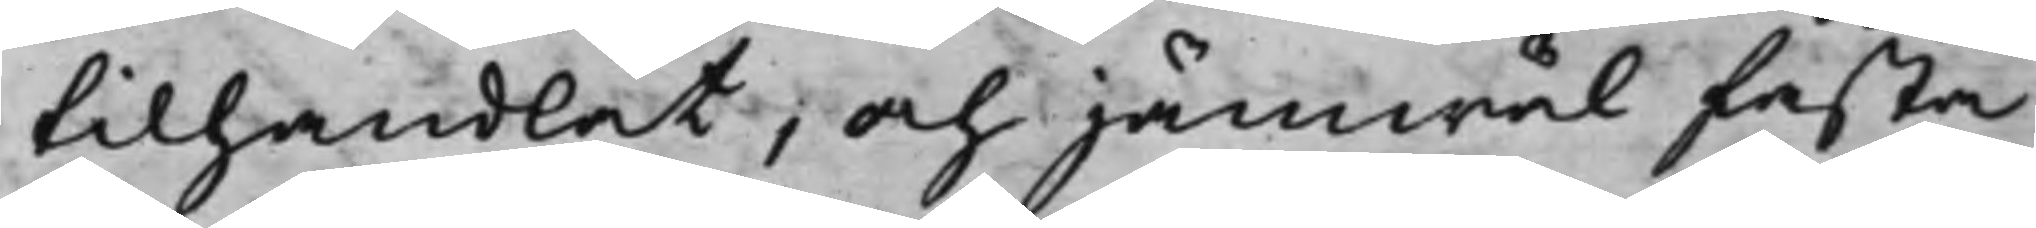tilhandlat, och jämwäl fasta
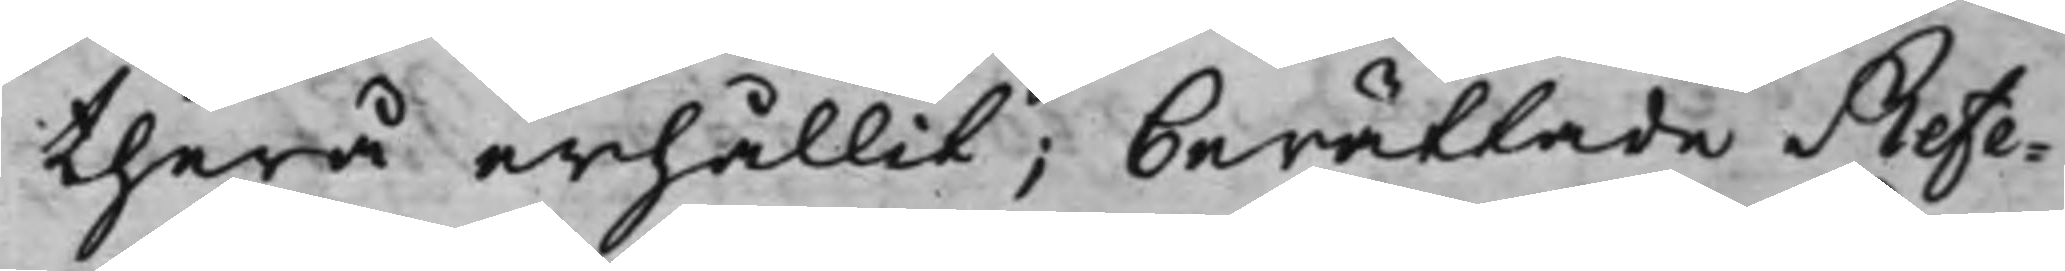therå erhållit, berättade Refe¬
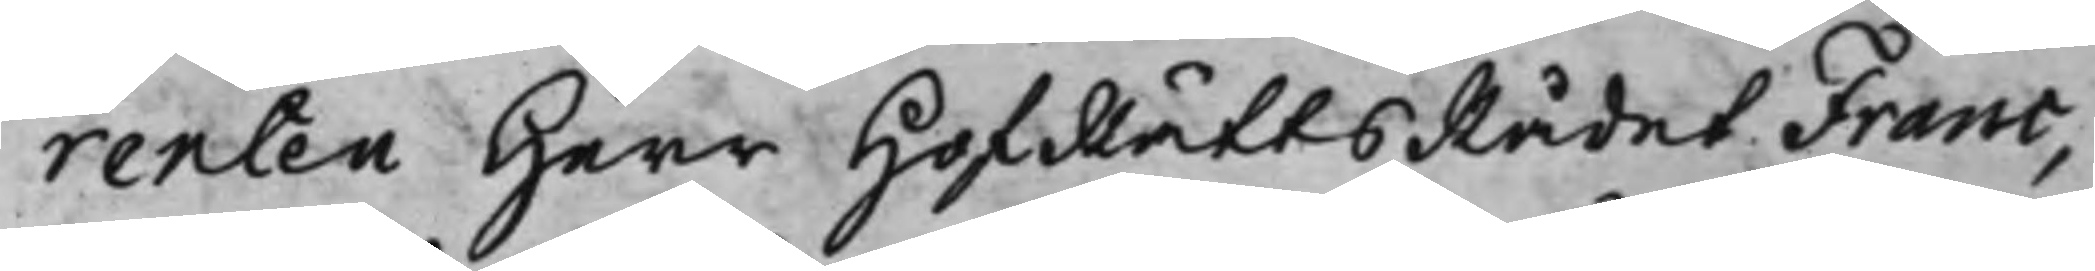renten Herr HofRättsRådet Franc,
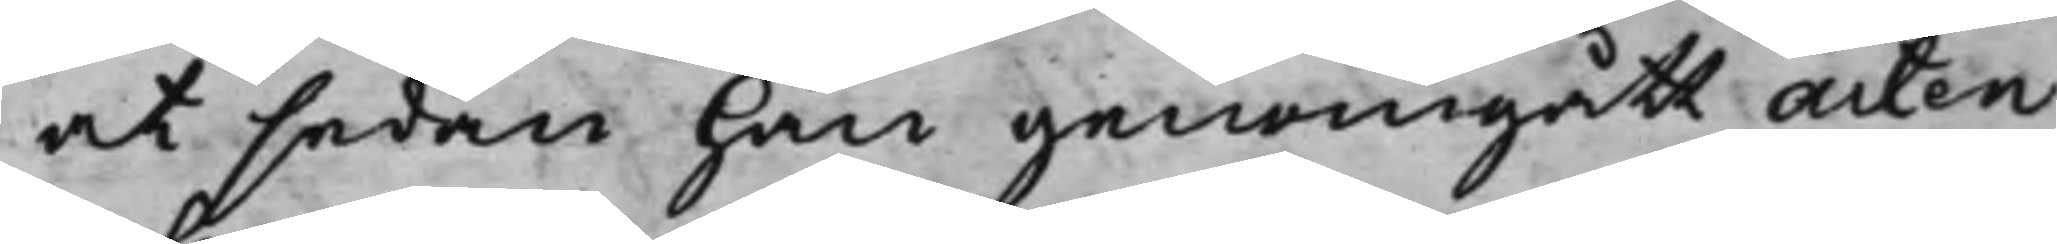at sedan han genomgått acten
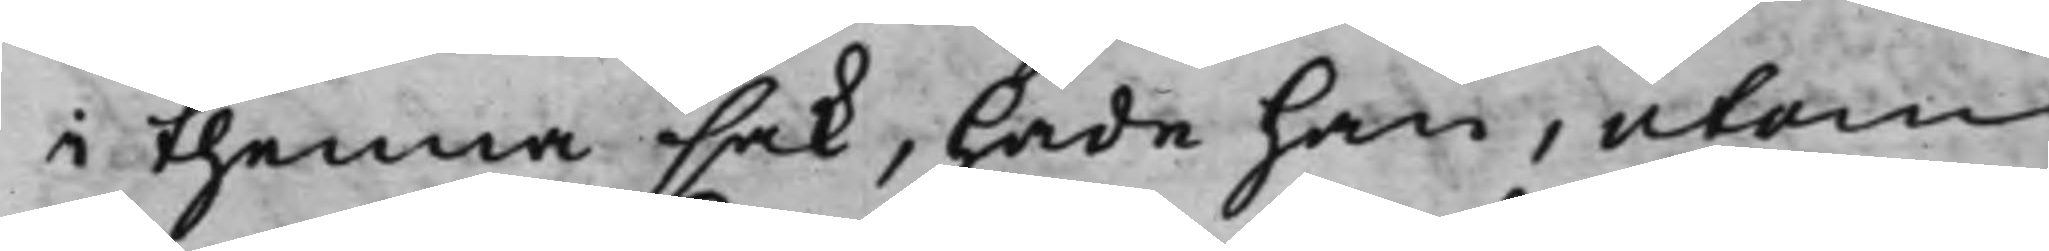i thenna sak, hade han, utom
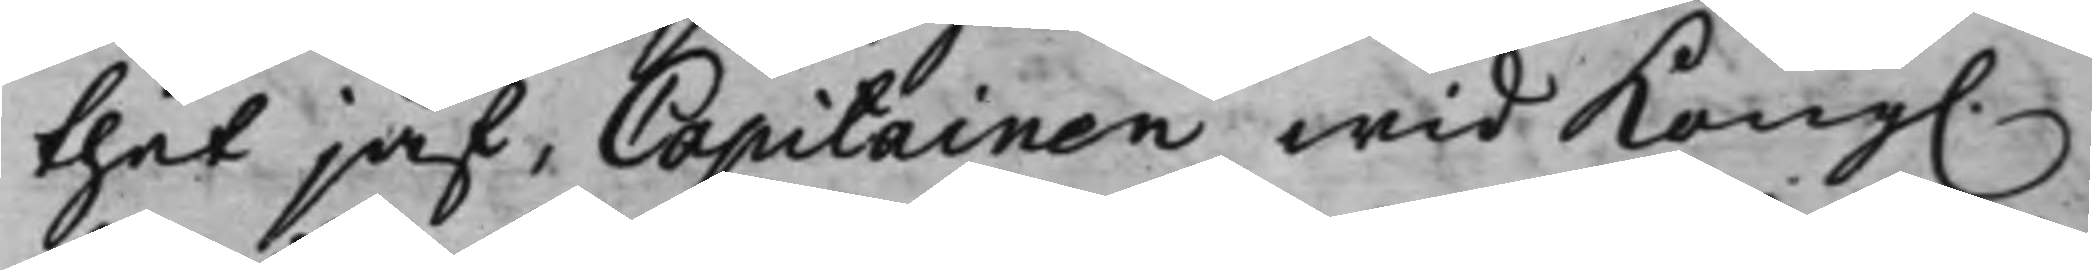thet jäf, Capitainen wid Kong.
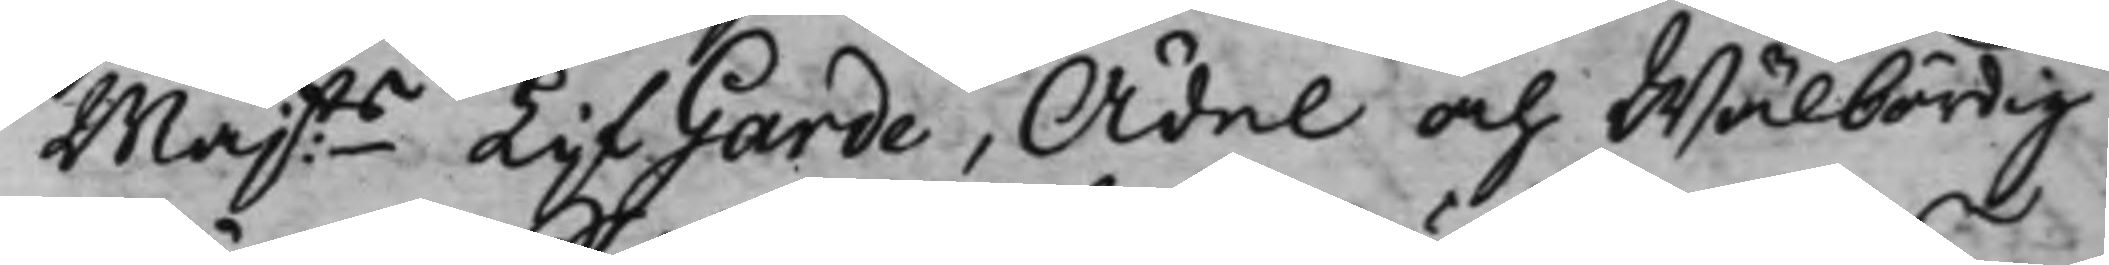Majts LijfGarde, Ädel och Wälbördig
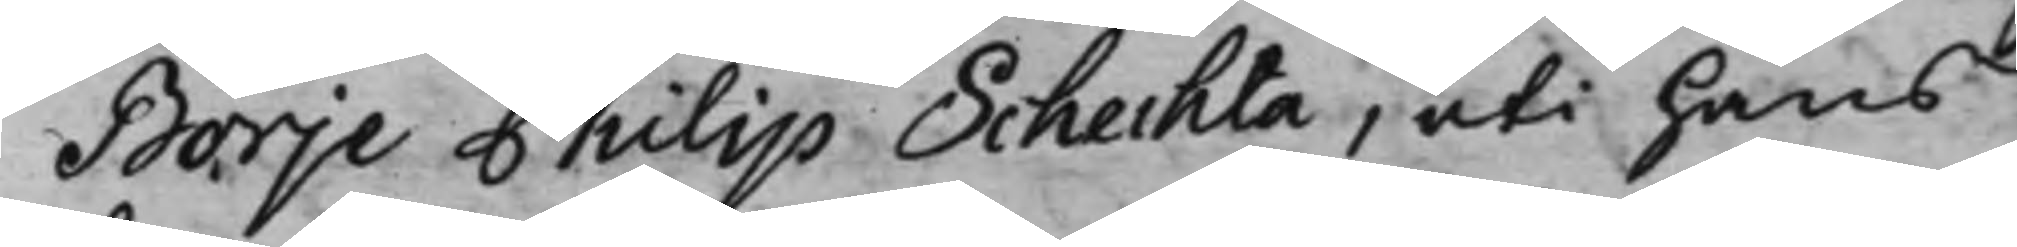Börje Philip Schechta, uti hans
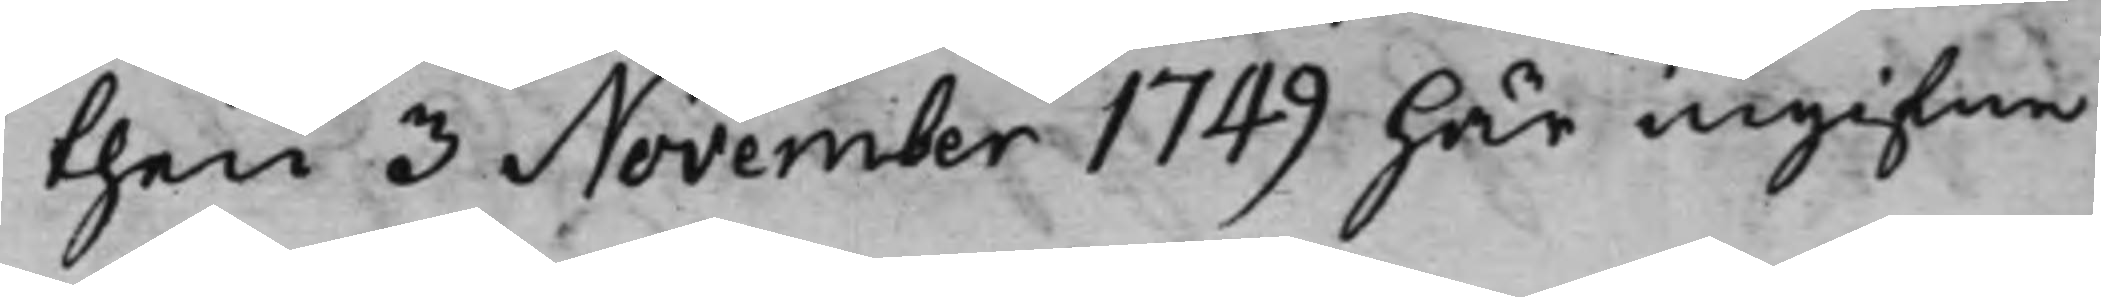then 3 November 1749 här ingifne
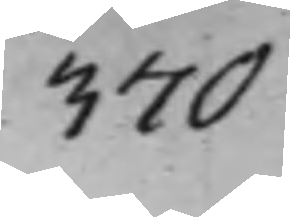370
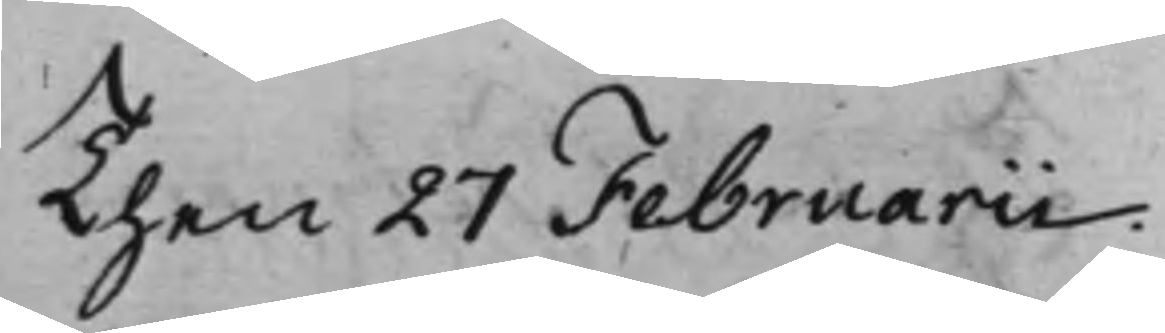Then 27 Februarii.
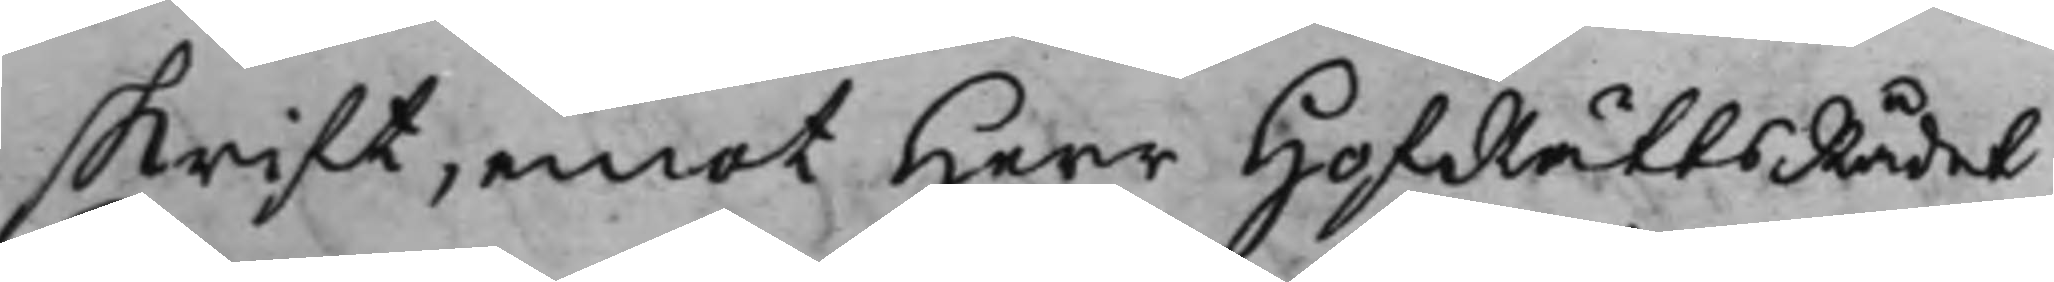skrift, emot Herr HofRättsRådet
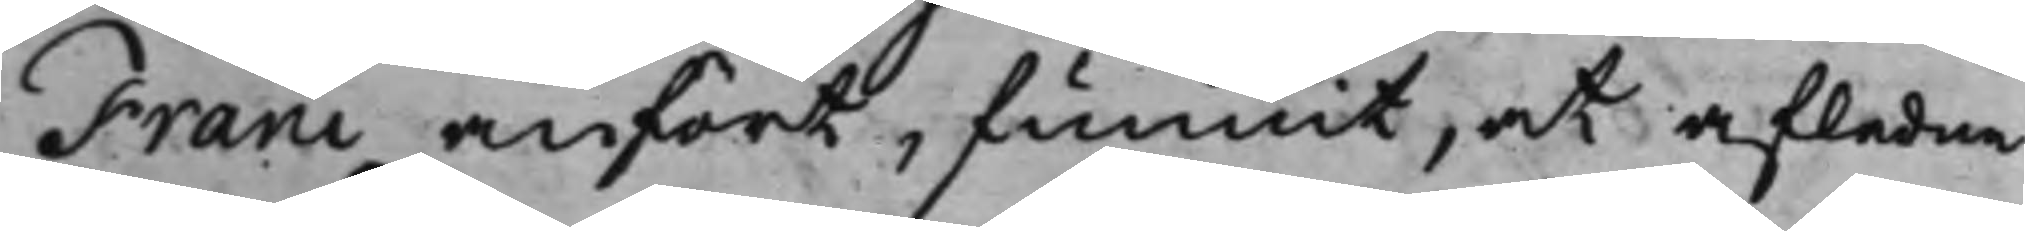Franc anfört, funnit, at afledne
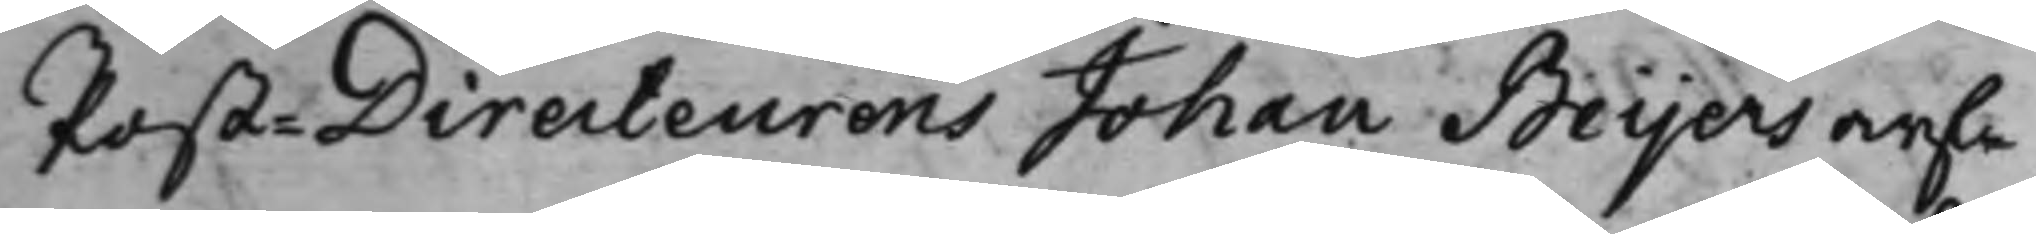Post-Directeurens Johan Beijers arf¬
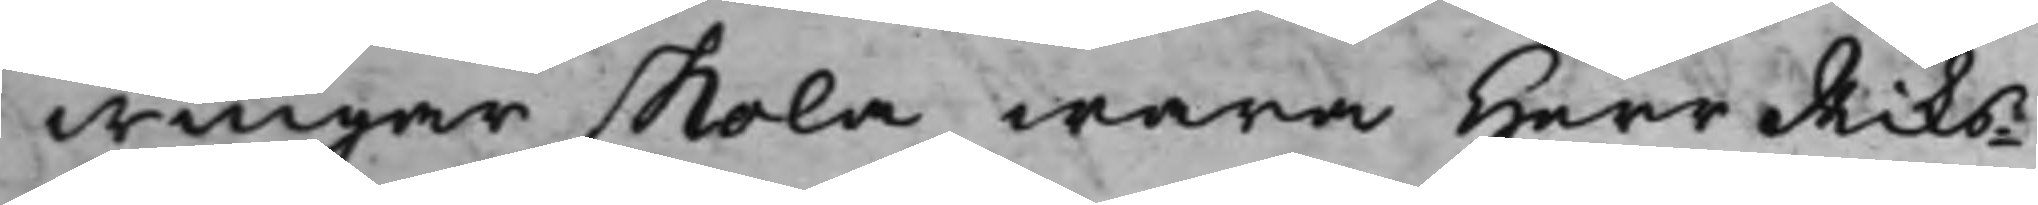wingar skola wara Herr Riks¬
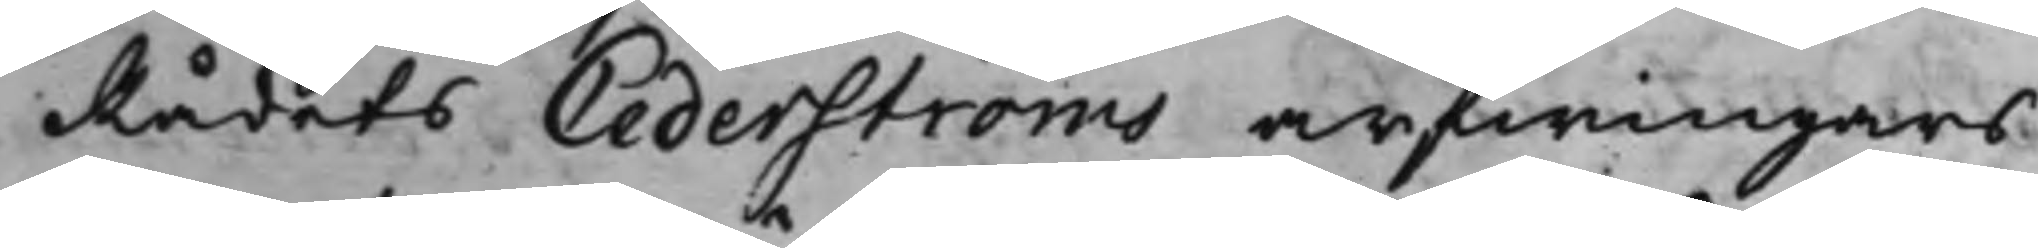Rådets Cederströms arfwingars
